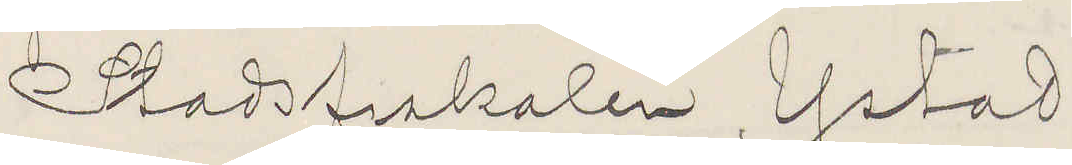Stadsfiskalen Ystad
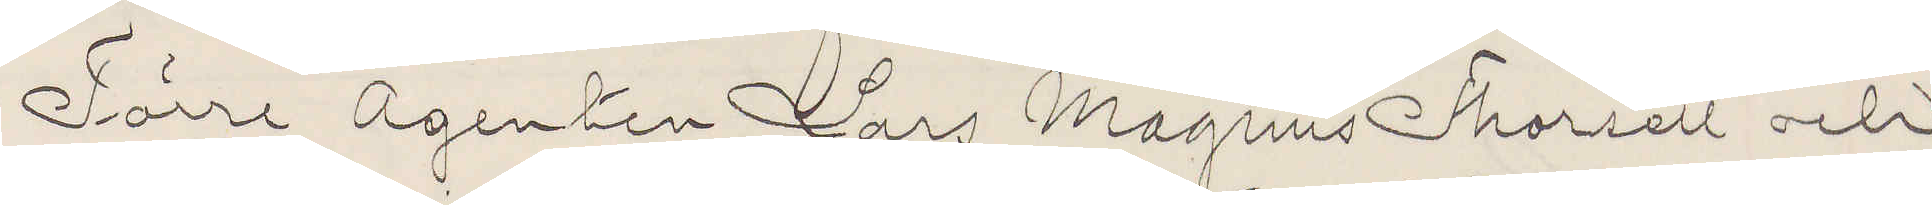Förre agenten Lars Magnus Thorell och
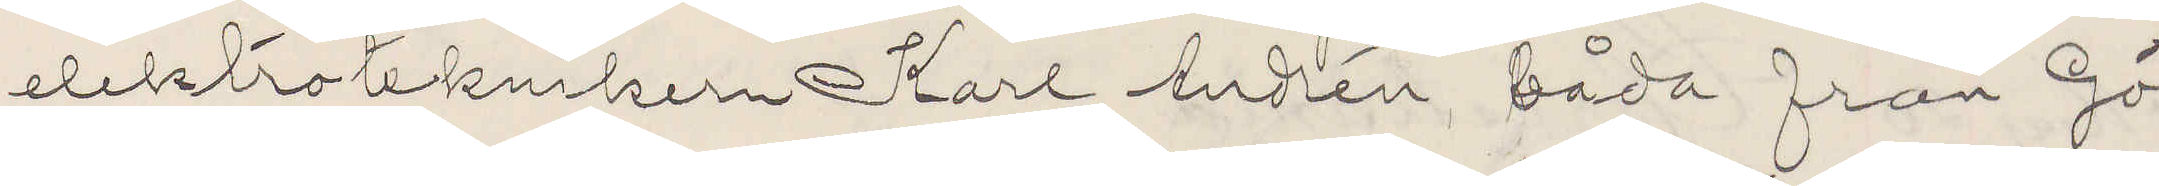elektroteknikern Karl Andrén båda från Gö¬
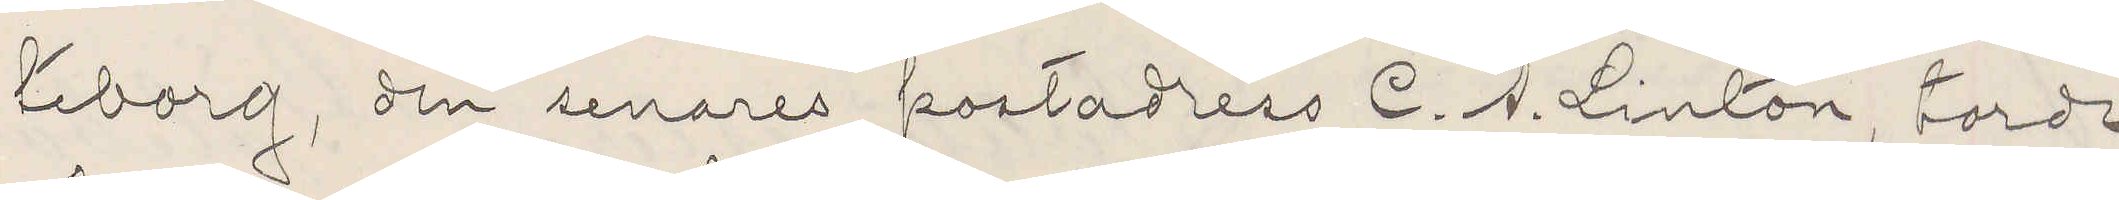teborg den senares postadress C. A. Linton torde
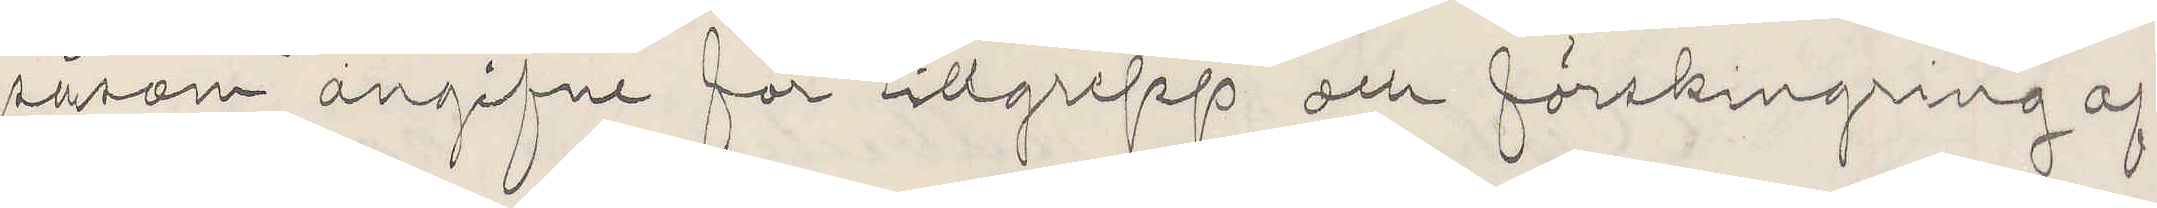såsom angifne för tillgrepp om förskingring a...
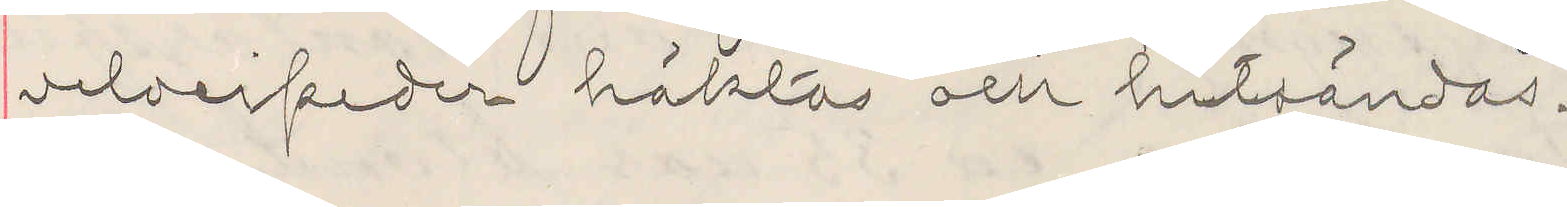velocipeden häktas och hitsändas.
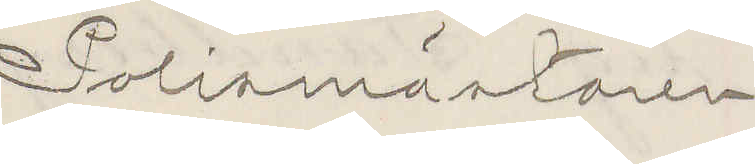Polismästaren.
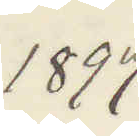1897
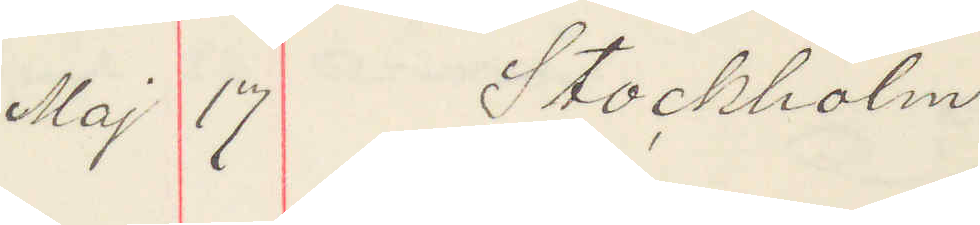Maj 17 Stockholm
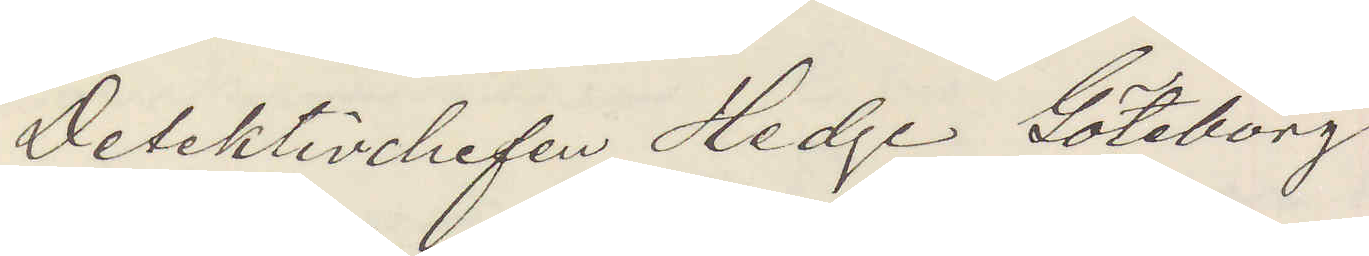Detektivchefen Hedge Göteborg
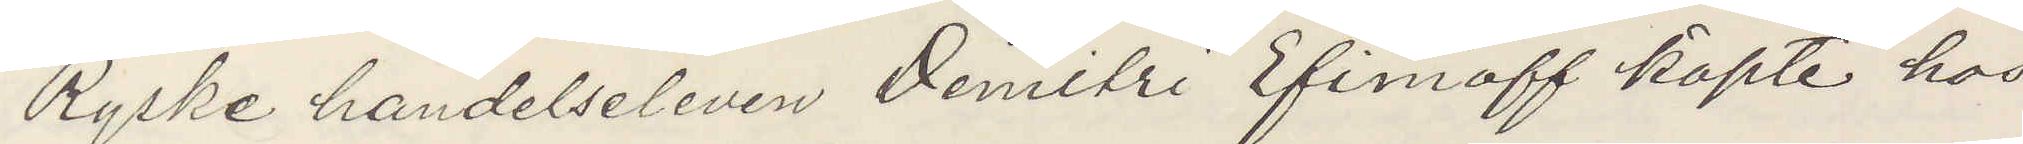Ryske handelseleven Demitri Efimoff köpte hos
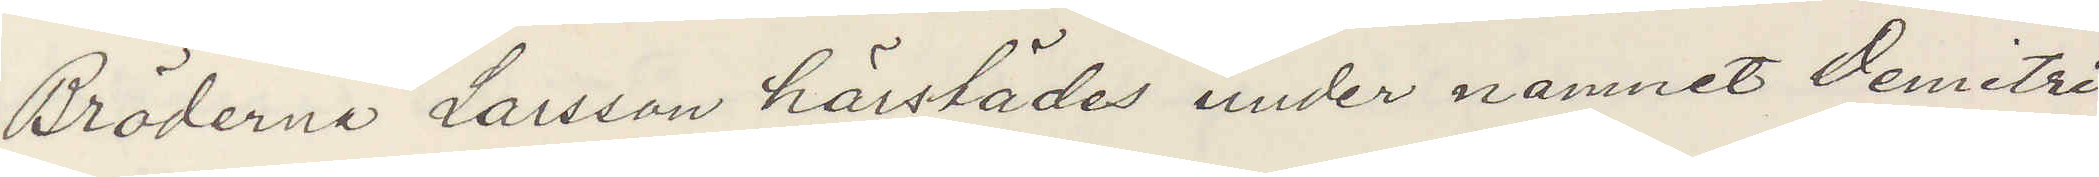Bröderna Larsson härstädes under namnet Demitri
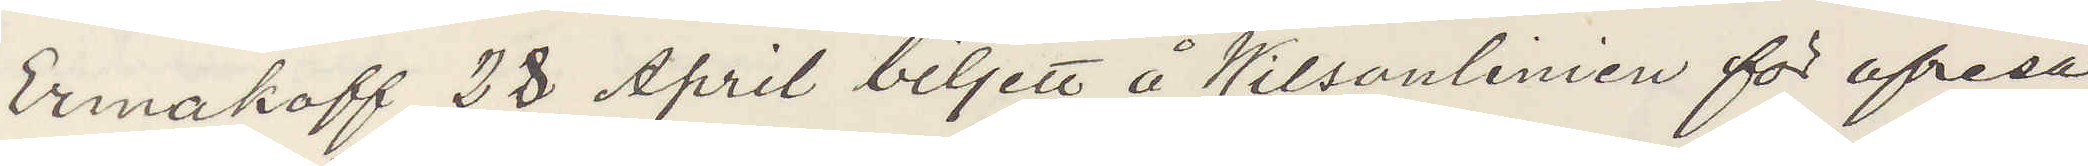Ermakoff 28 April biljett å Wilsonlinien för afresa
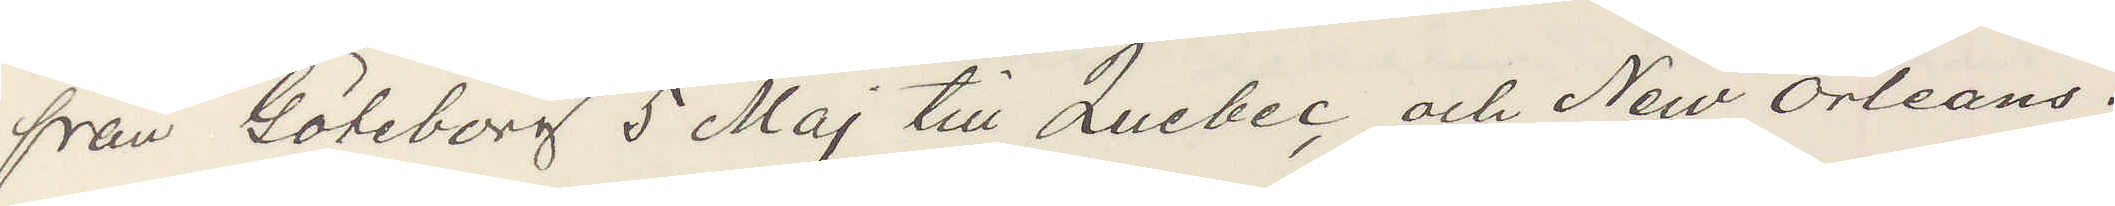från Göteborg 5 Maj till Quebec och New Orleans.
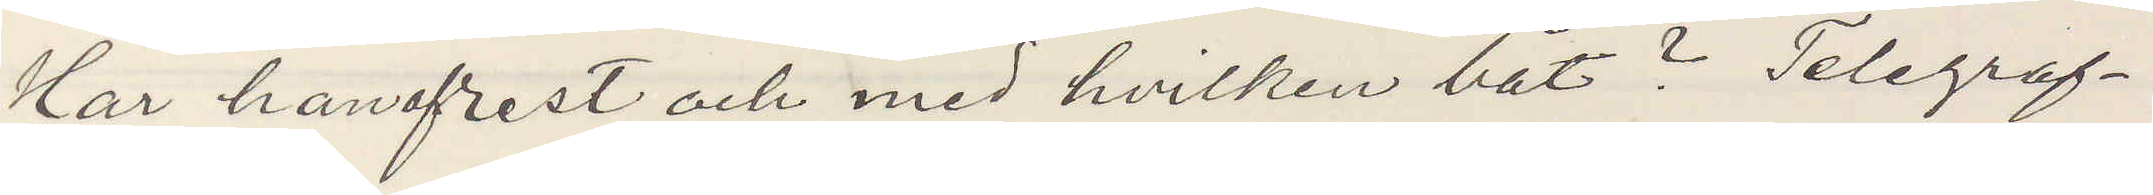Har han afrest och med hvilken båt? Telegraf¬
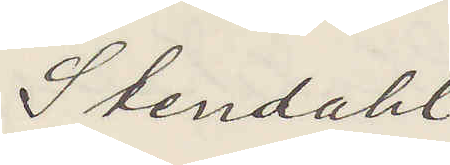Stendahl
